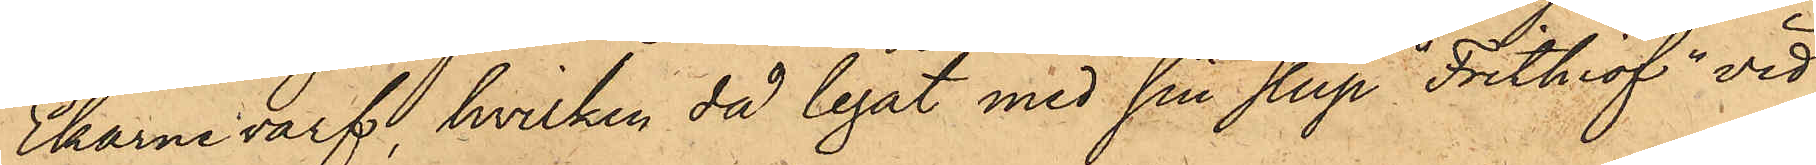Ekarne varf, hvilken då legat med sin slup "Frithiof" vid
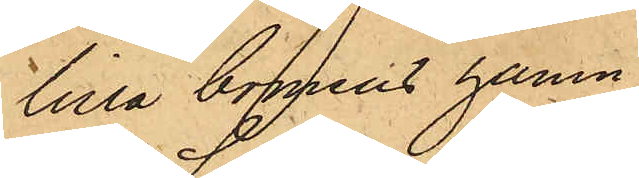lilla bommens hamn;
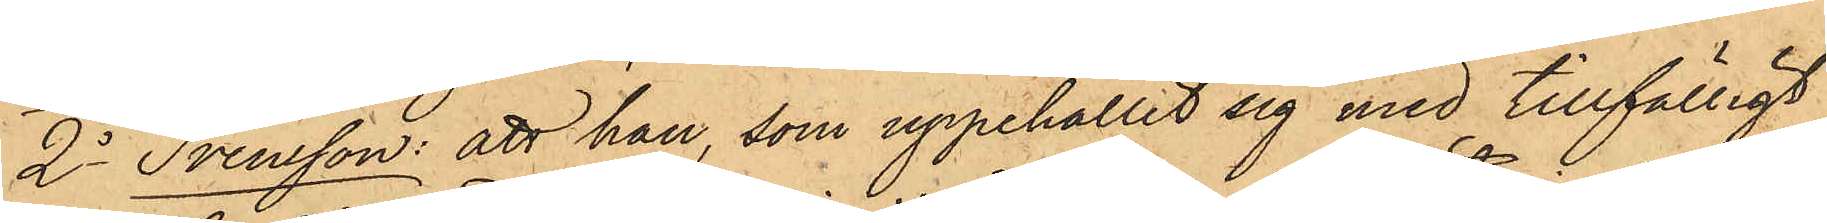2o Svensson: att han, som uppehållit sig med tillfälligt
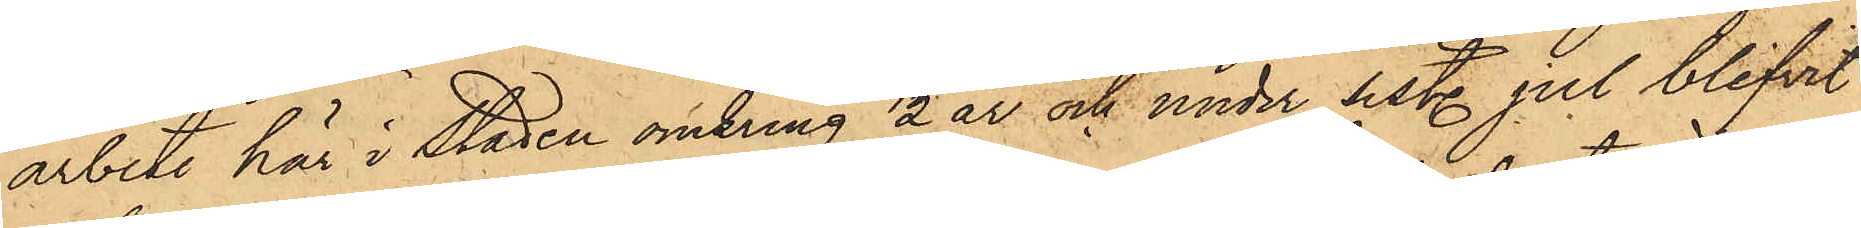arbete här i Staden omkring 1/2 år och under sist. Jul blifvit
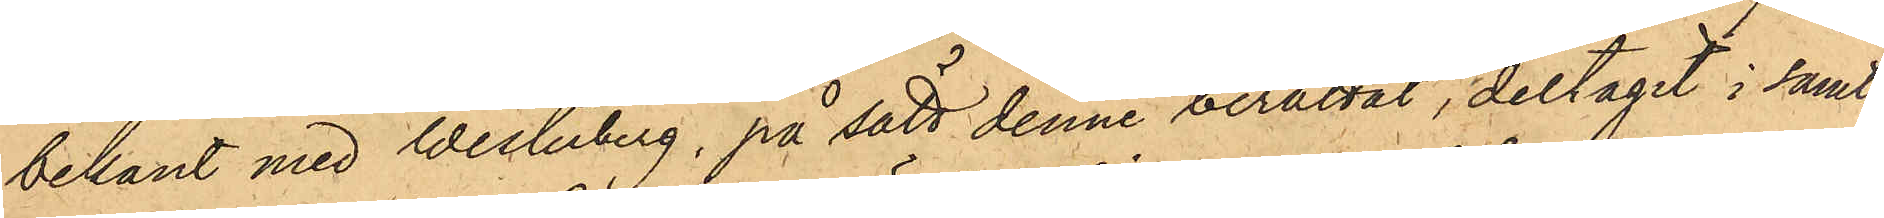bekant med Westerberg, på sätt denne berättat, deltagit i samt¬
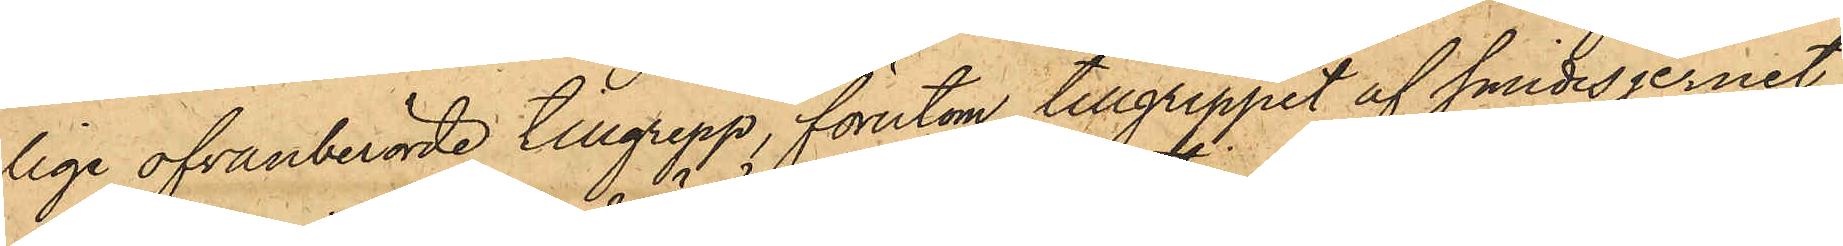lige ofvanberörde tillgrepp, förutom tillgreppet af smidesjernet,
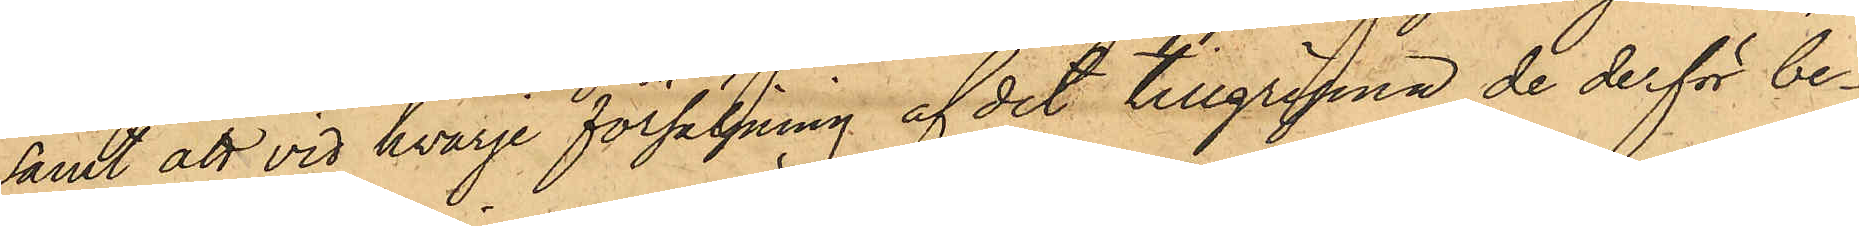samt att vid hvarje försäljning af det tillgripna de derför be¬
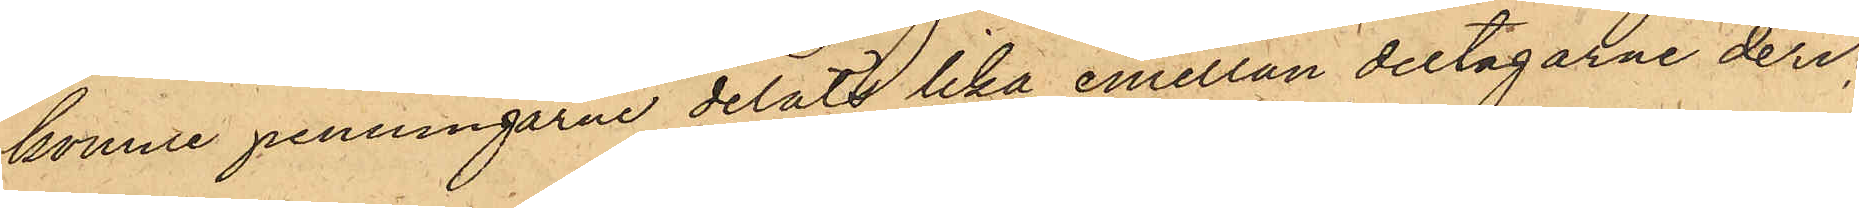komne penningarne delats lika emellan deltagarne deri;
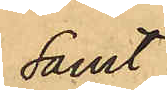samt
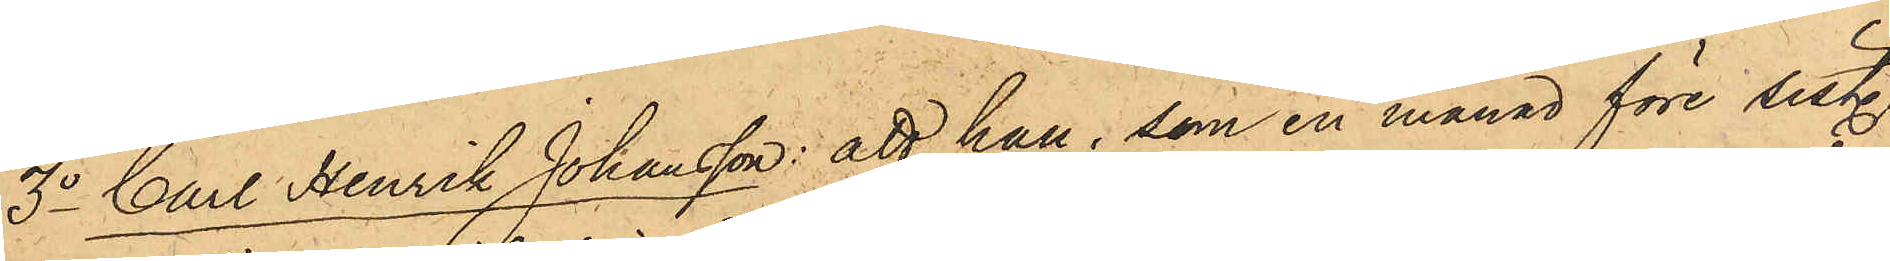3o Carl Henrik Johansson: att han, som en månad före sist.
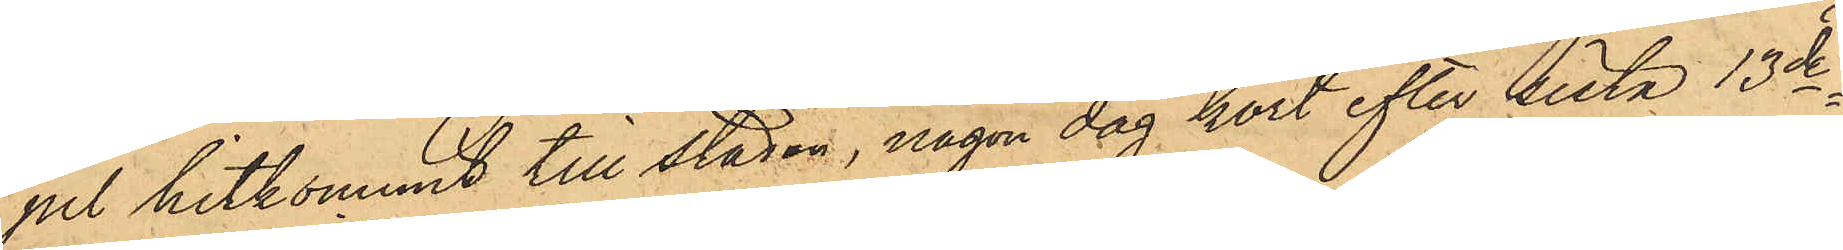jul hitkommit till staden, någon dag kort efter sista 13de
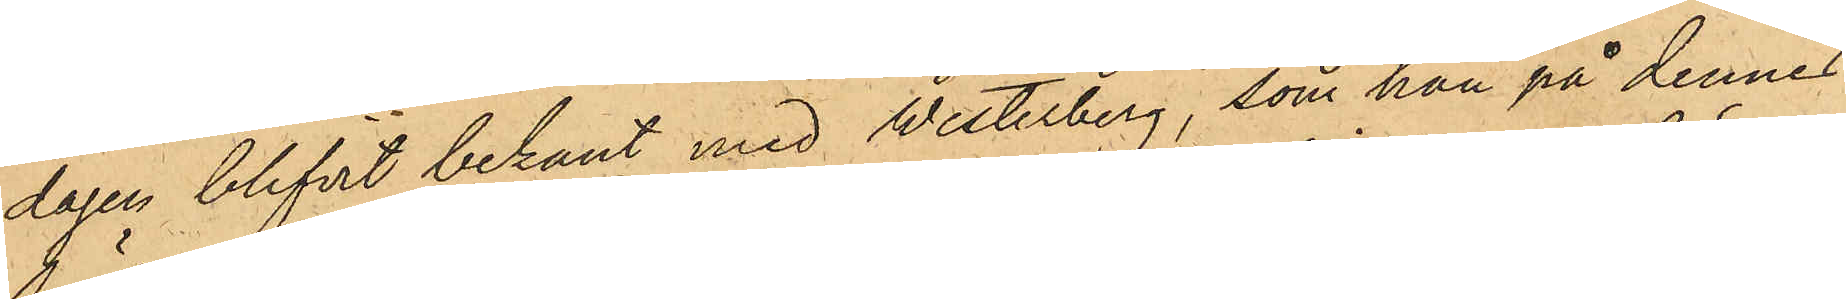dagen blifvit bekant med Westerberg, som han på dennes
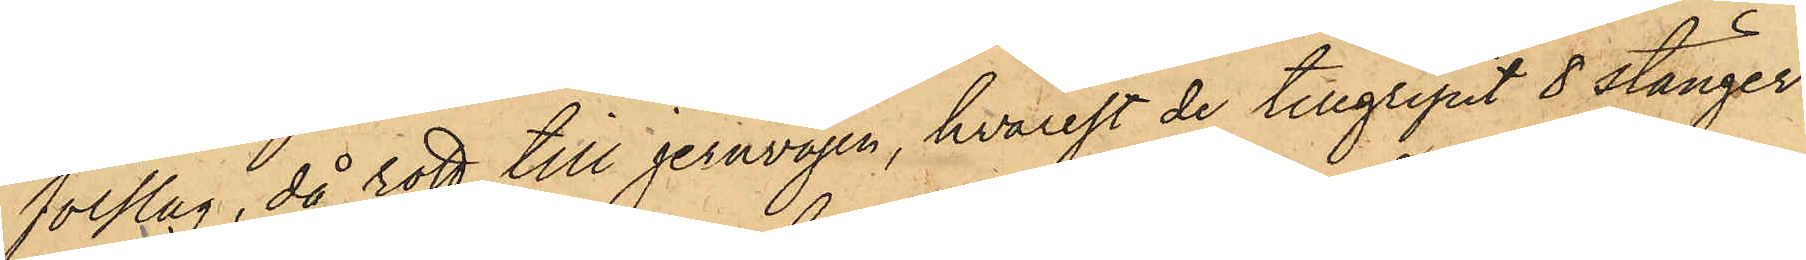förslag, då rott till jernvågen, hvarest de tillgripit 8 stänger
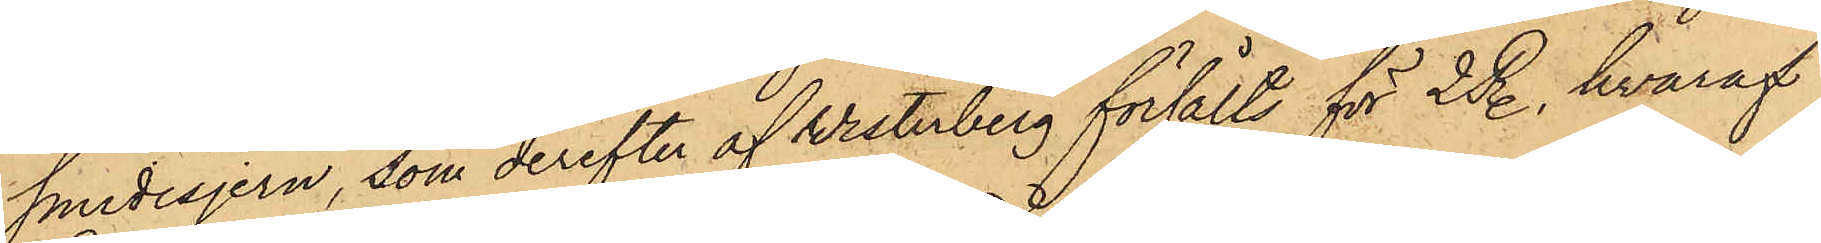smidesjern, som derefter af Westerberg försålts för 2 R., hvaraf
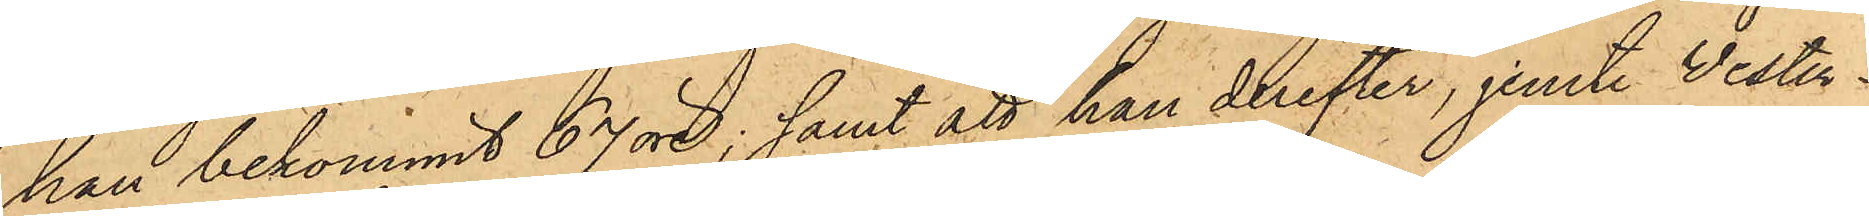han bekommit 67 öre; samt att han derefter, jemte Vester¬
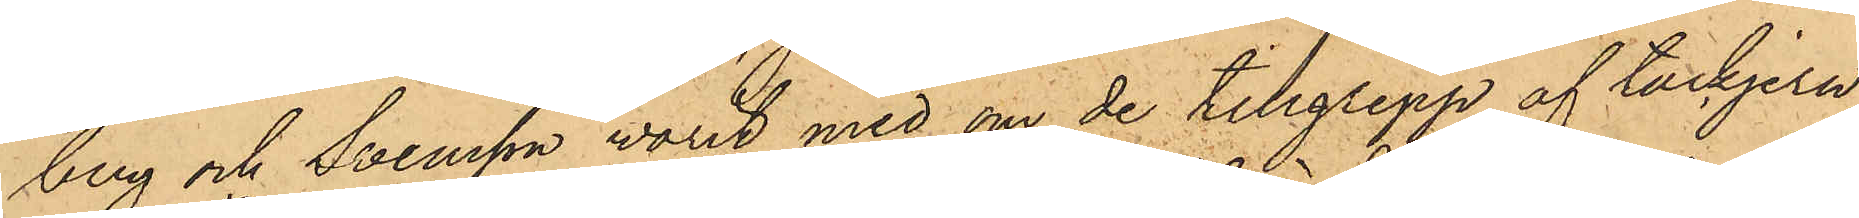berg och Svensson varit med om de tillgrepp af tackjern,
